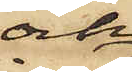och
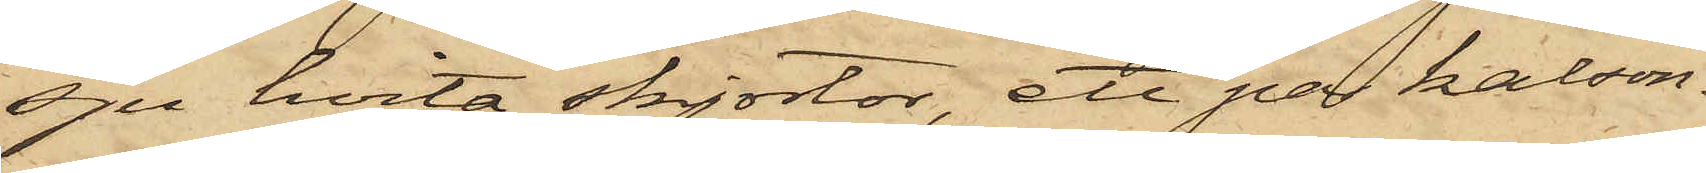sju hvita skjortor, ett par kalson¬
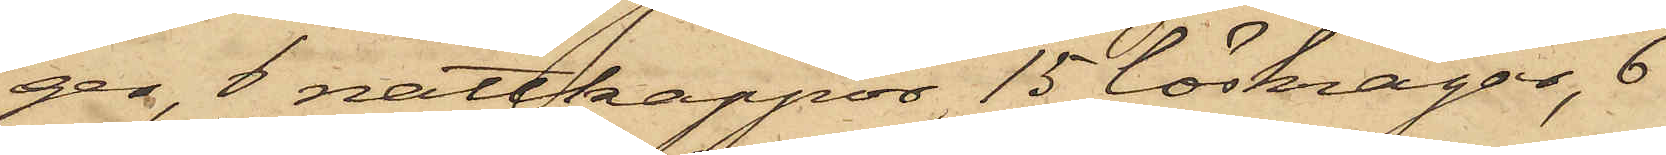ger, 8 nattkappor, 15 löskragar, 6
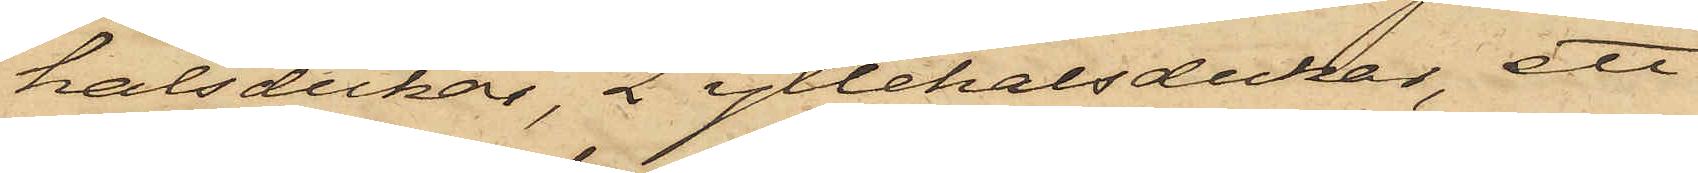halsdukar, 2 yllehalsdukar, ett
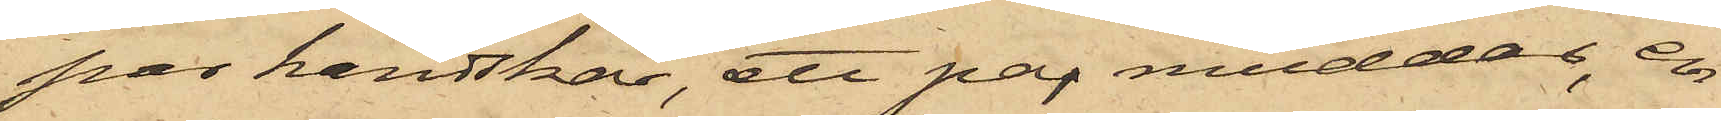par handskar, ett par muddar, en
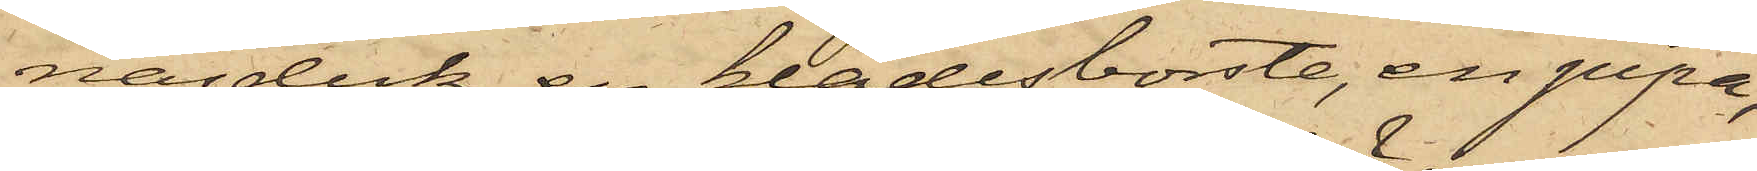näsduk, en klädesborste, en pipa,
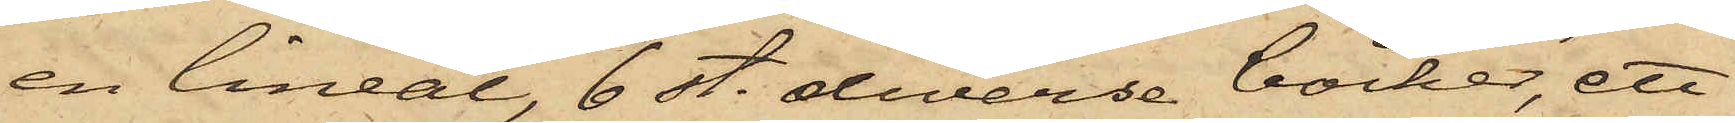en lineal, 6 st. diverse böcker, ett
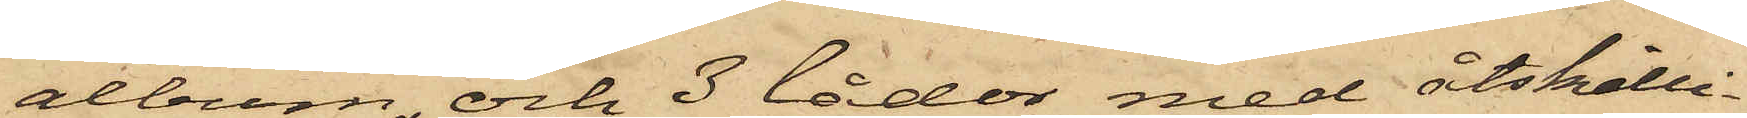album och 3 lådor med åtskilli¬
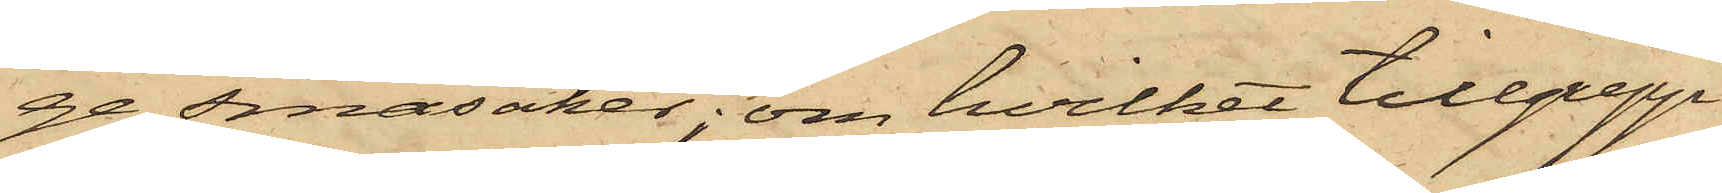ge småsaker; om hvilket tillgrepp
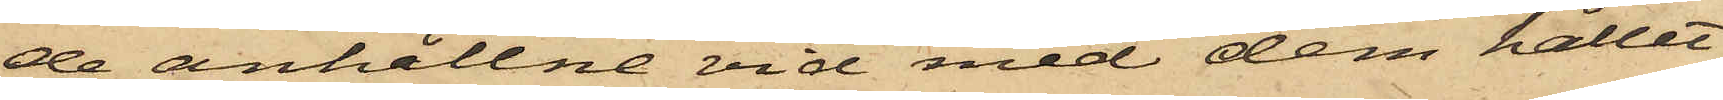de anhållne vid med dem hållet
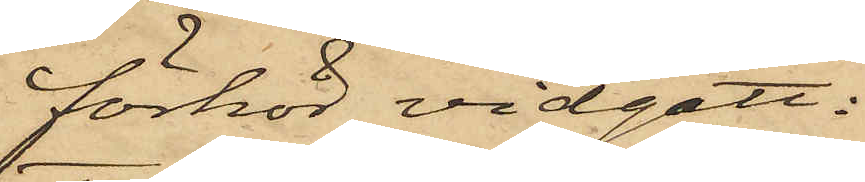förhör vidgått:
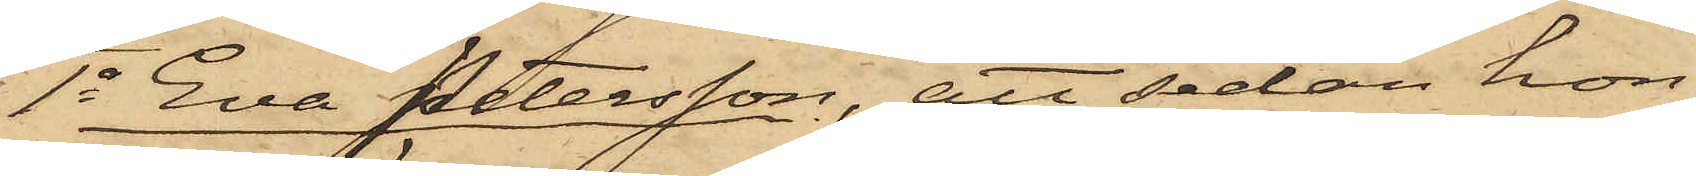1o Eva Petersson, att sedan hon
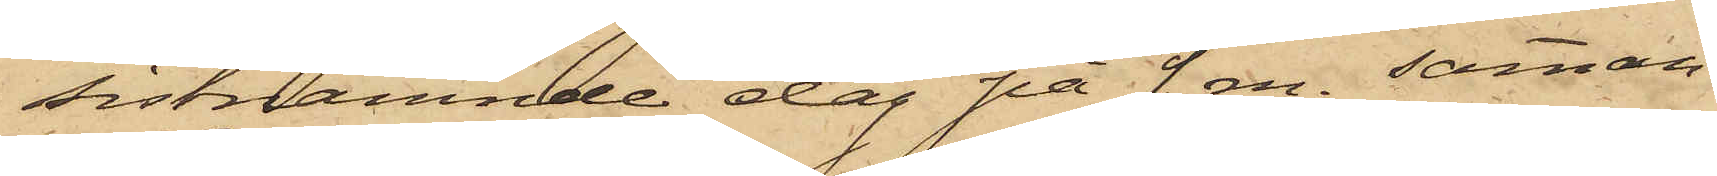sistnämnde dag på f. m. samman¬
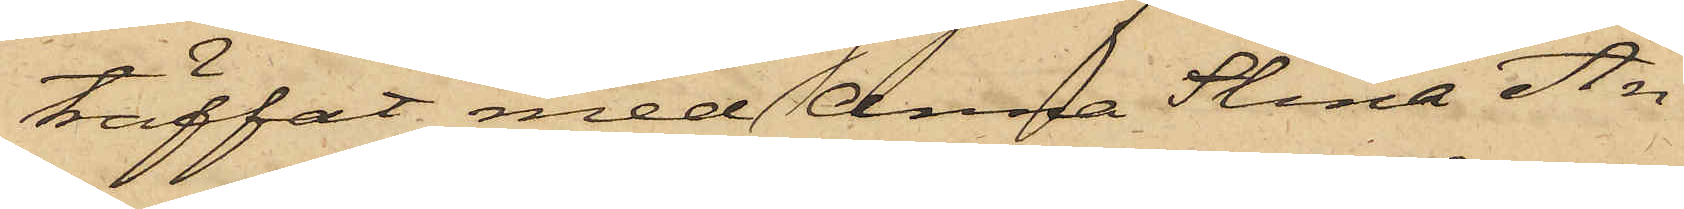träffat med Anna Stina An¬
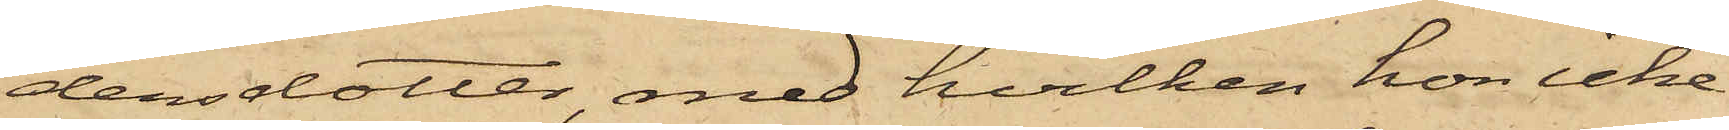dersdotter, med hvilken hon icke
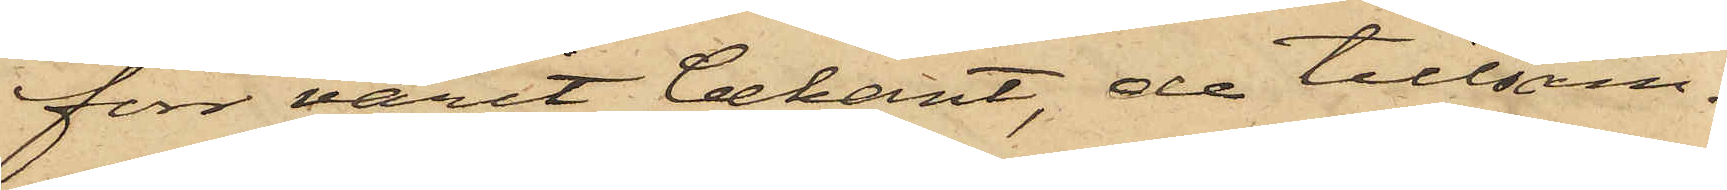förr varit bekant, de tillsam¬
